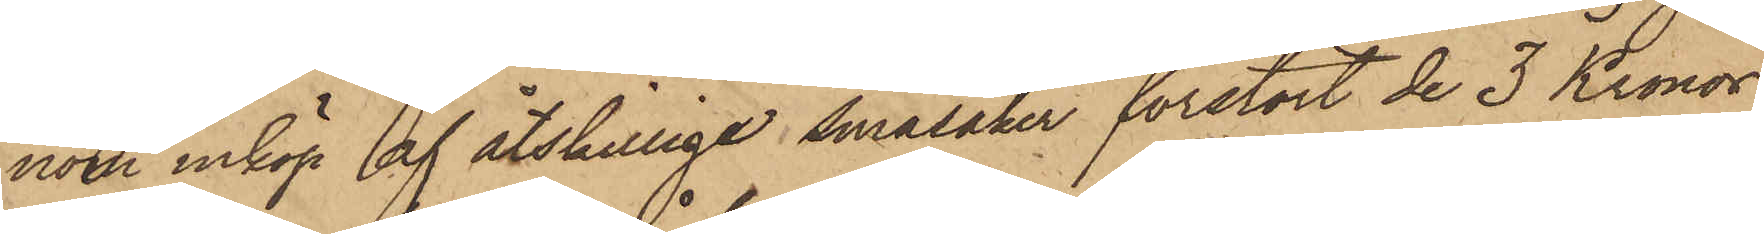nom inköp af åtskillige småsaker förstört de 3 Kronor
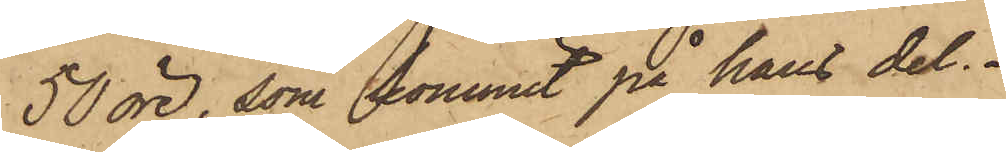50 öre, som kommit på hans del.
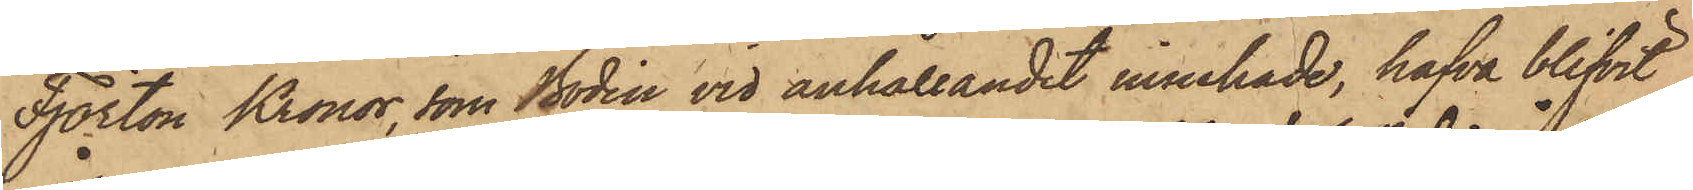Fjorton Kronor, som Bodin vid anhållandet innehade, hafva blifvit
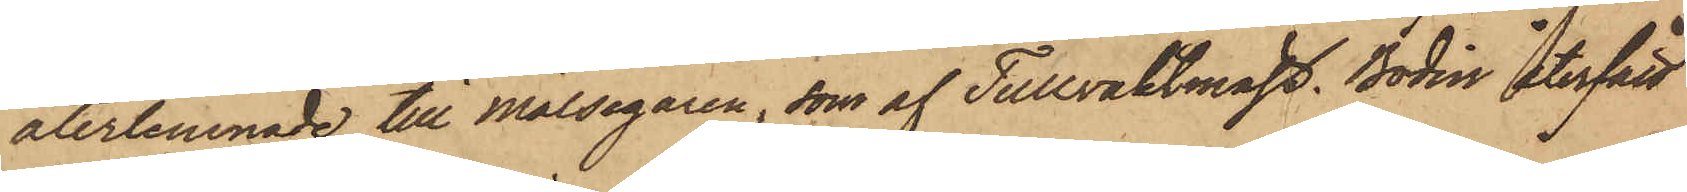återlemnade till Målsegaren, som af Tullvaktmäst, Bodin återfått
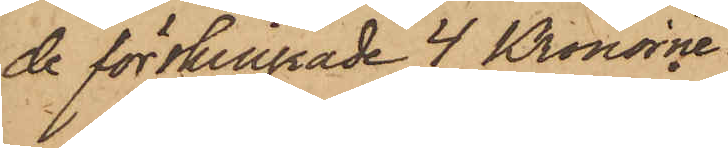de förskingrade 4 Kronorne.
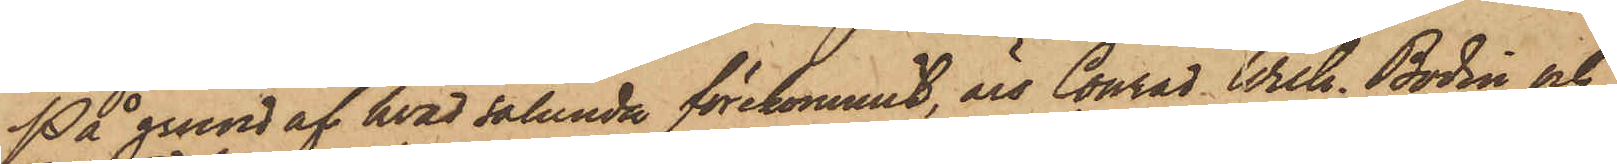På grund af hvad sålunda förekommit, äro Conrad Wilh. Bodin och
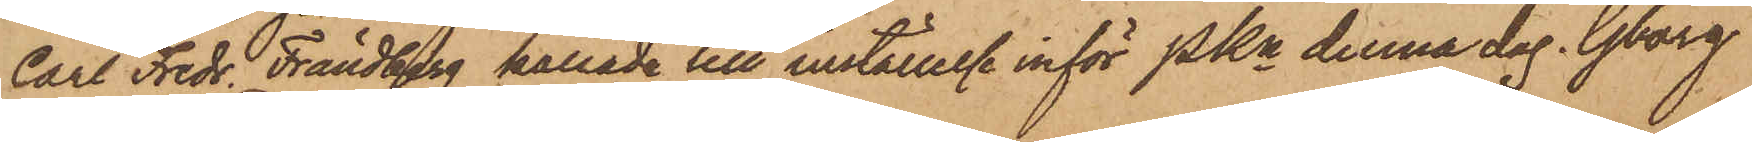Carl Fredr. Frändberg kallade till inställelse inför PKn denna dag. Gborg
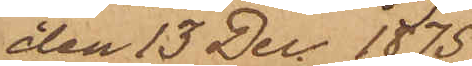den 13 Dec. 1875.
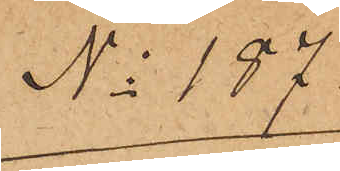No 187
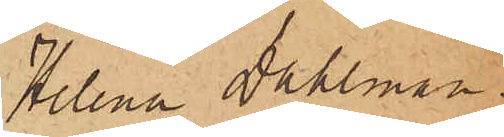Helena Dahlman.
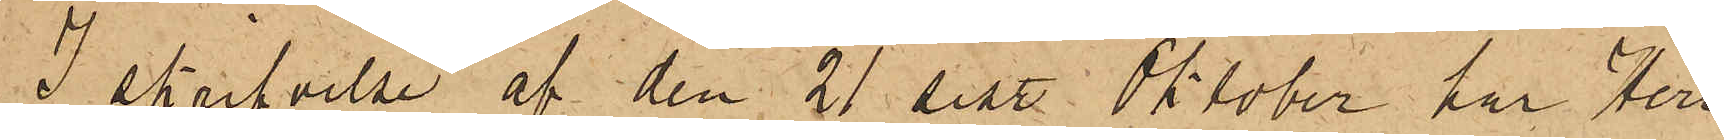I skrifvelse af den 21 sist. Oktober har Herr
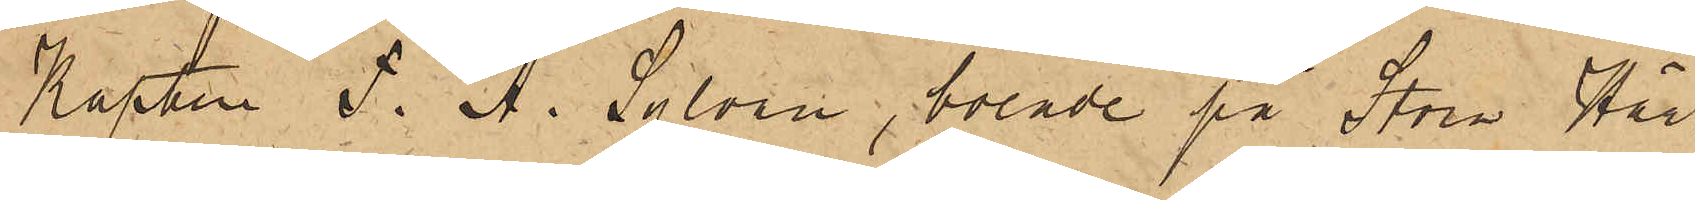Kapten F. A. Sylvan, boende på Stora Här¬
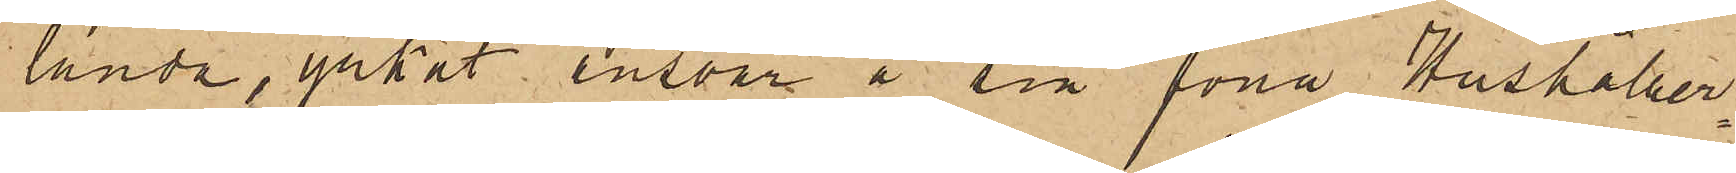landa, yrkat ansvar å sin förra Hushåller¬
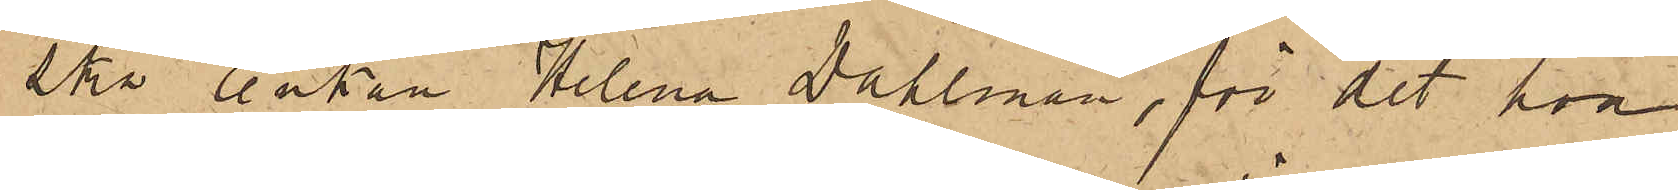ska Enkan Helena Dahlman, för det han
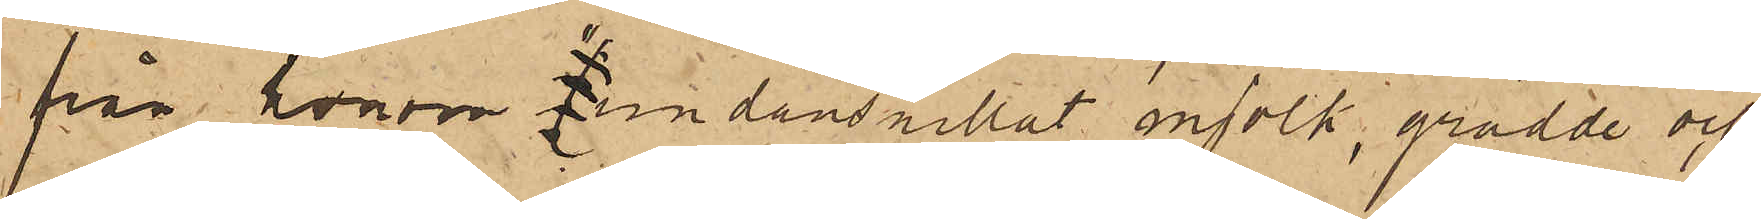från honom "undansnillat mjölk, grädde och
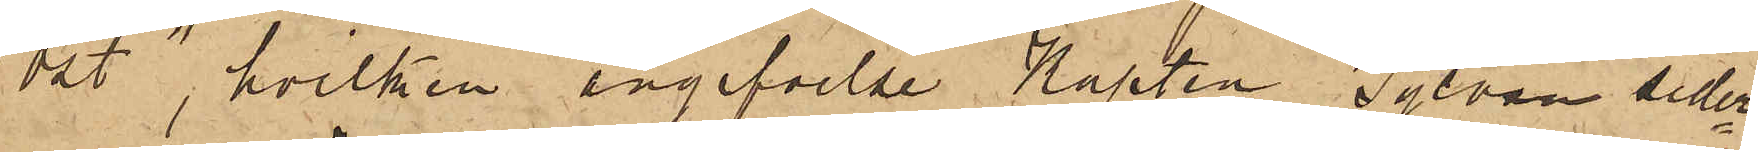ost", hvilken angifvelse Kapten Sylvan seder¬
